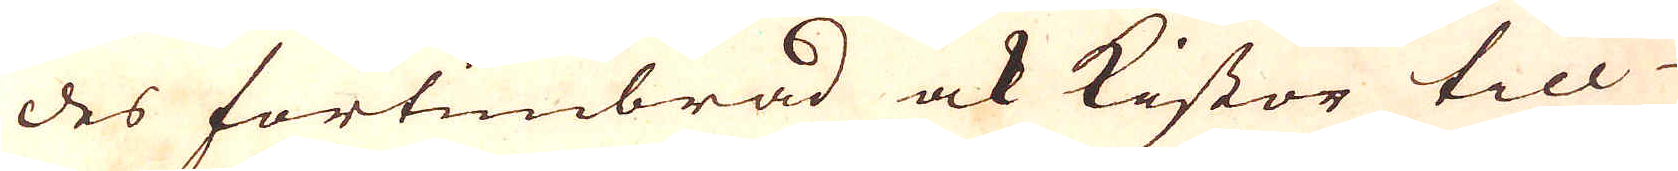des förtimbrad ock kistor till
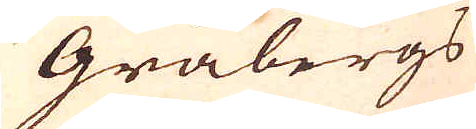Gråbergs
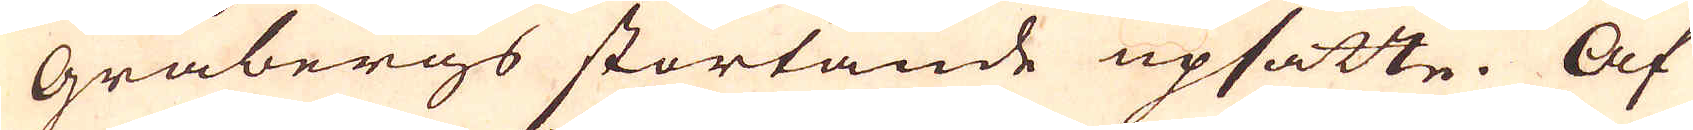Gråbergs störtande upsatte. Af
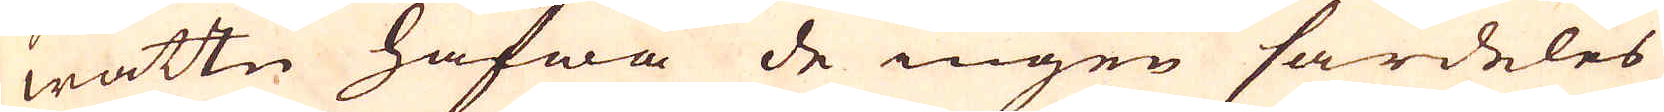wattn hafwa de ingen särdeles
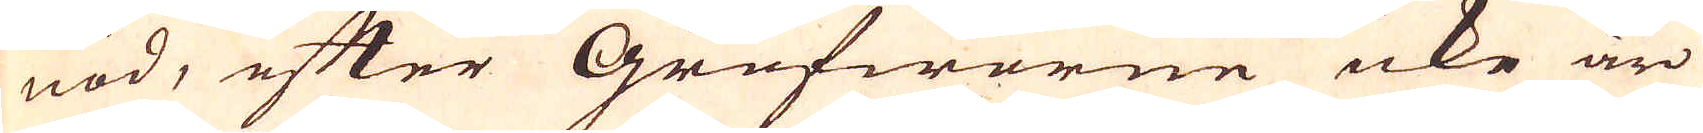nöd, efter Grufworne icke äro
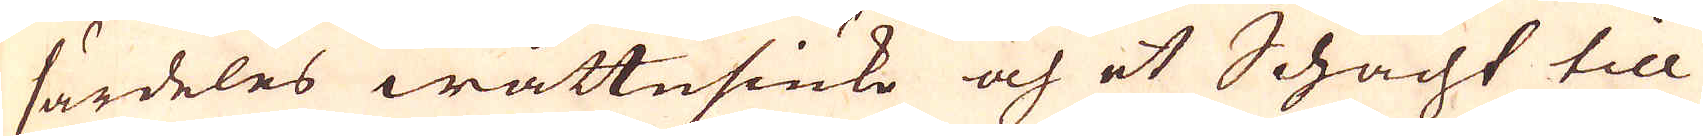särdeles wattusiuke och et Schacht till
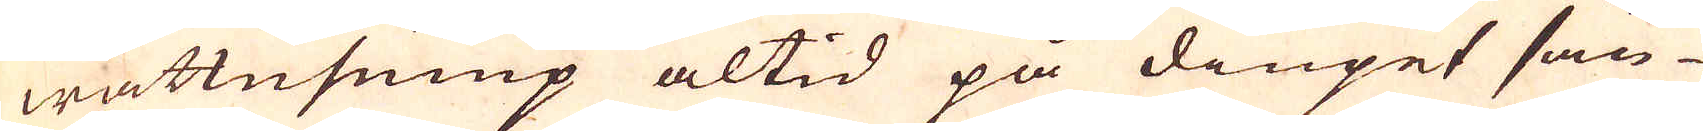wattnpump altid på diupet sän-
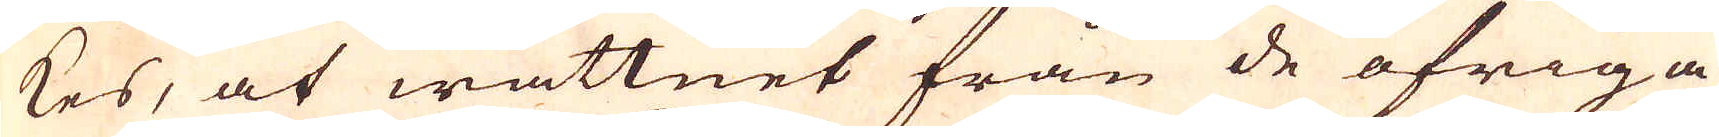kes, at wattnet från de öfriga
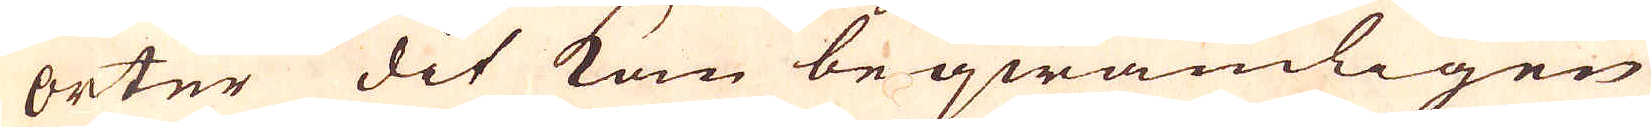orter dit kam beqwämligen
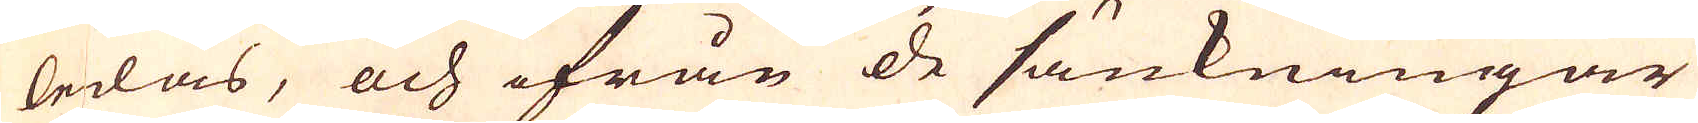ledas, och ifrån de sänkningar
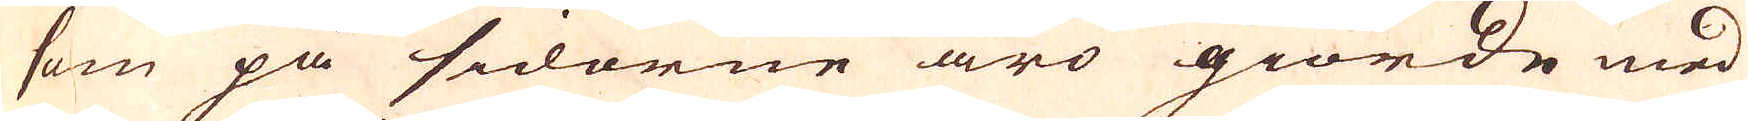som på sidorne äro giorde med
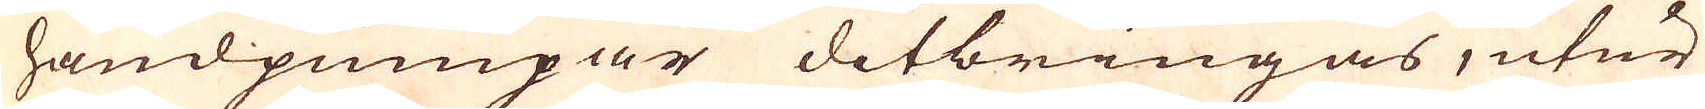handpumpar ditbringas, utur
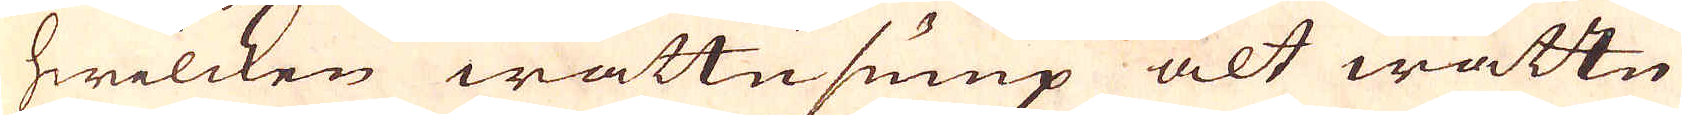hwilcken wattupump alt wattn
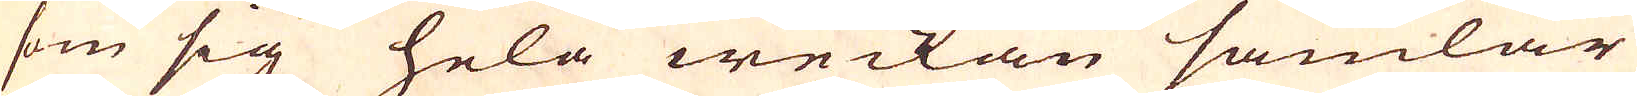som sig hela weckan samlar
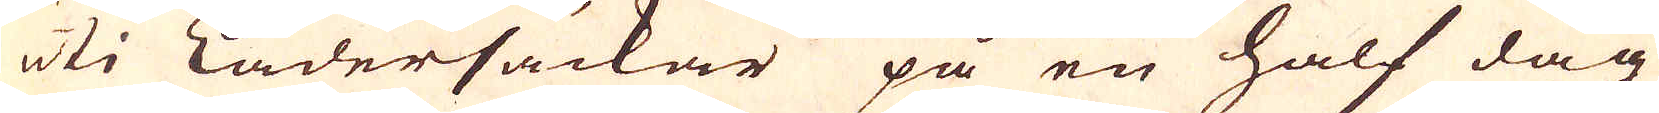uti Lädersäckar på en half dag
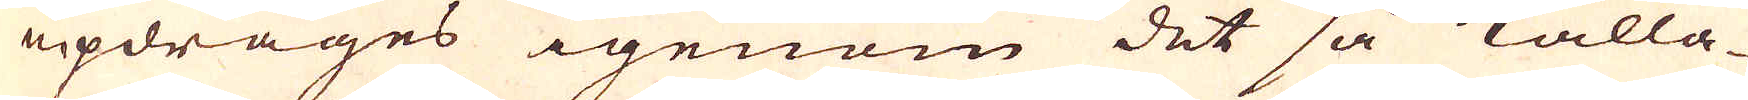updräges igenom det så kalla-
